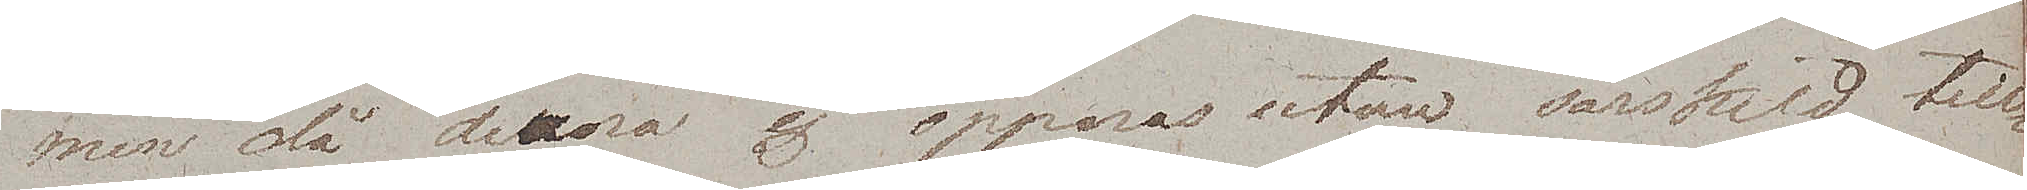men då denna ej öppnas utan särskild till¬
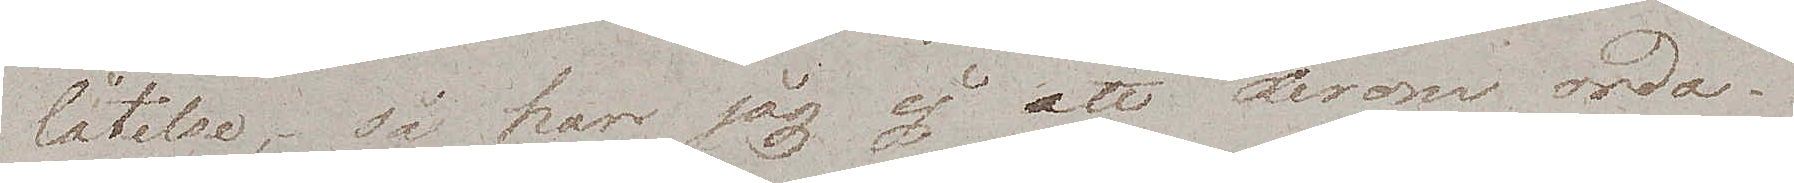låtelse, så har jag ej att derom orda.
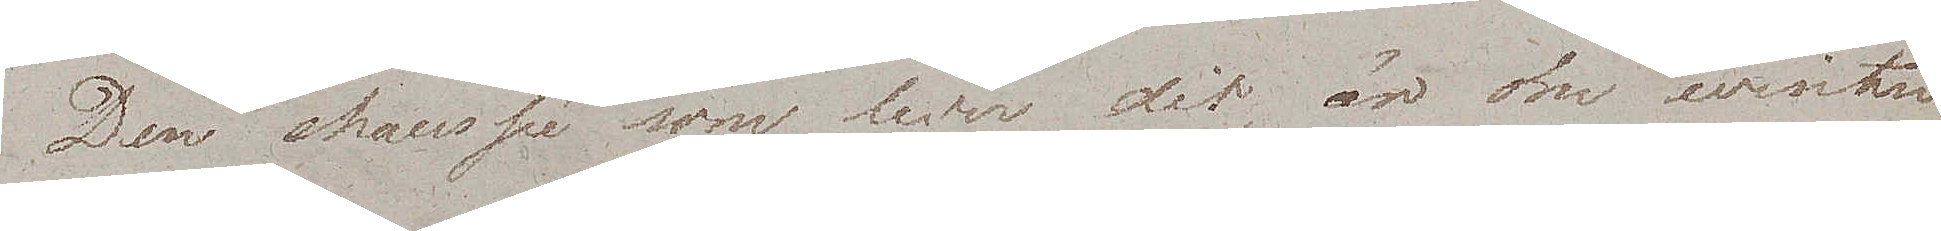Den chaussée som leder dit är om winter¬
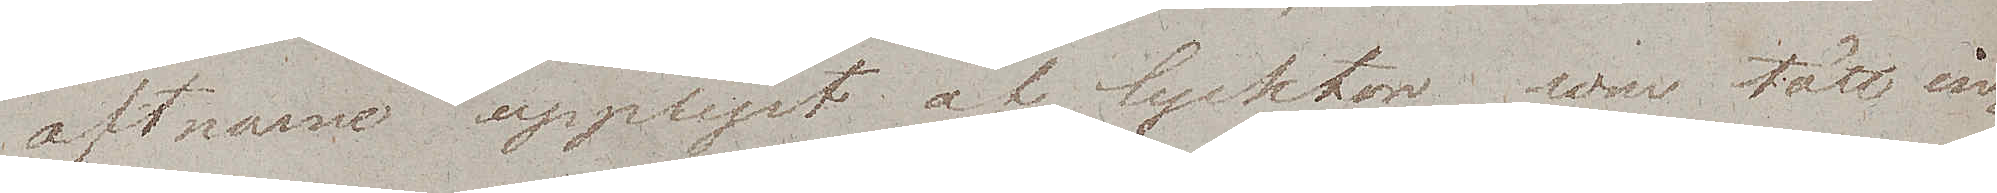aftnarne upplyst af lycktor som tätt in¬
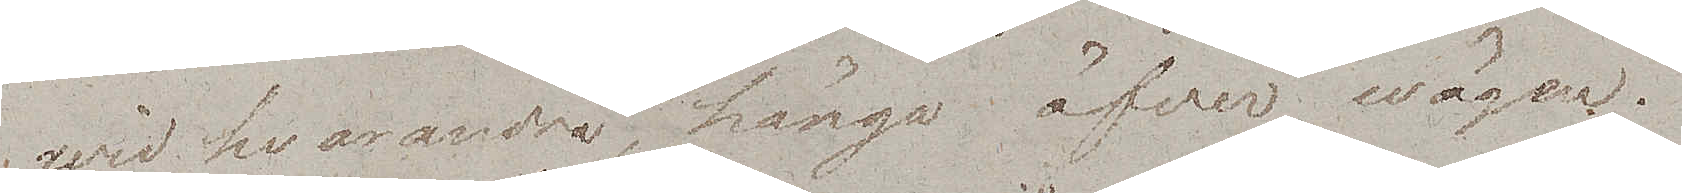wid hvarandra, hänga öfver wägen.
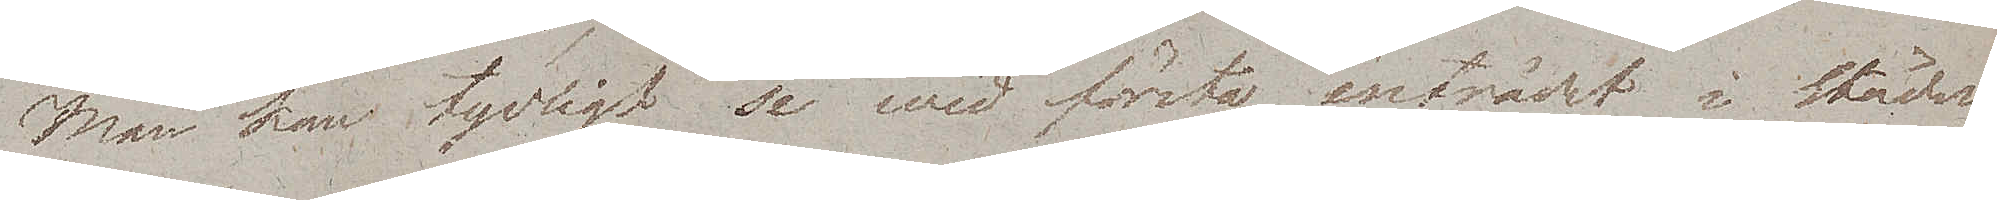Man kan tydligt se wid första inträdet i Städerna
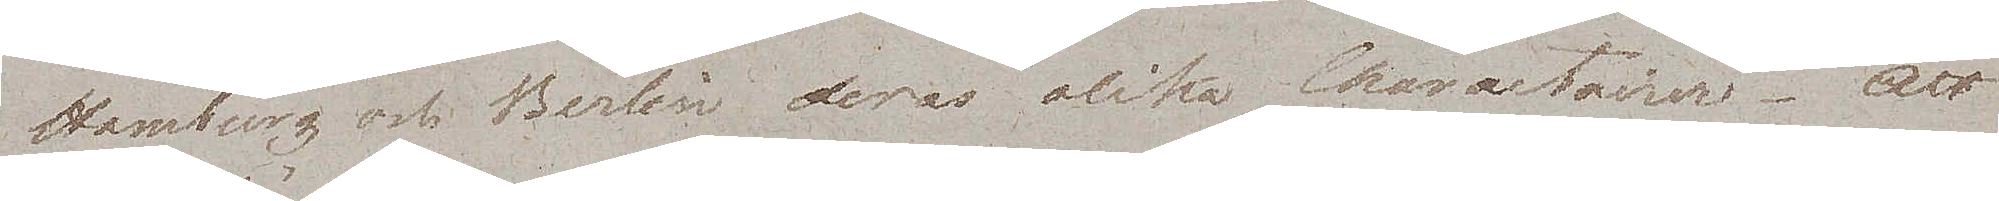Hamburg och Berlin deras olika Charactairer. Att
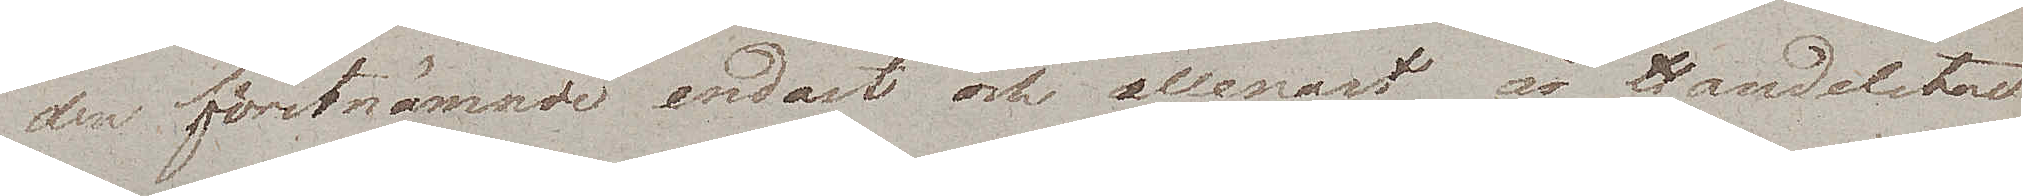den förstnämnde endast och allenast är Handelstad
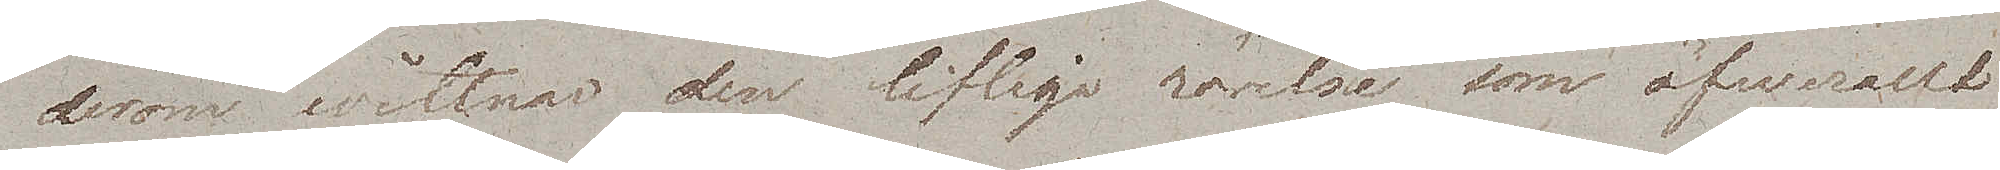derom wittnar den lifliga rörelse som öfwerallt
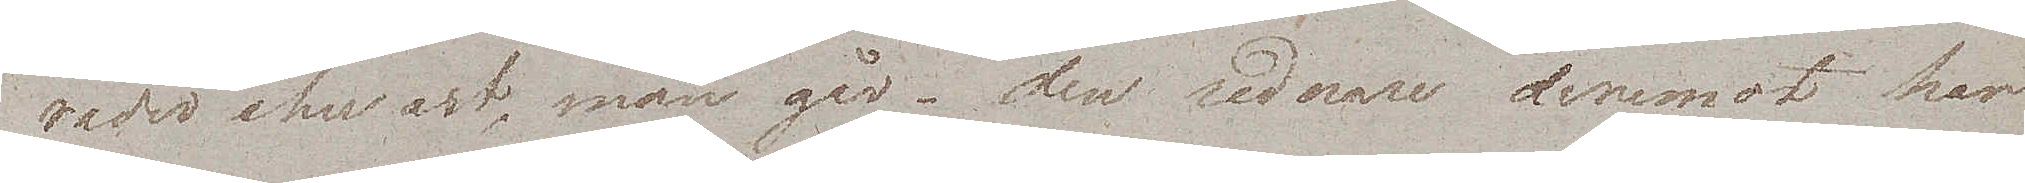råder ehwart man går – den sednare deremot har
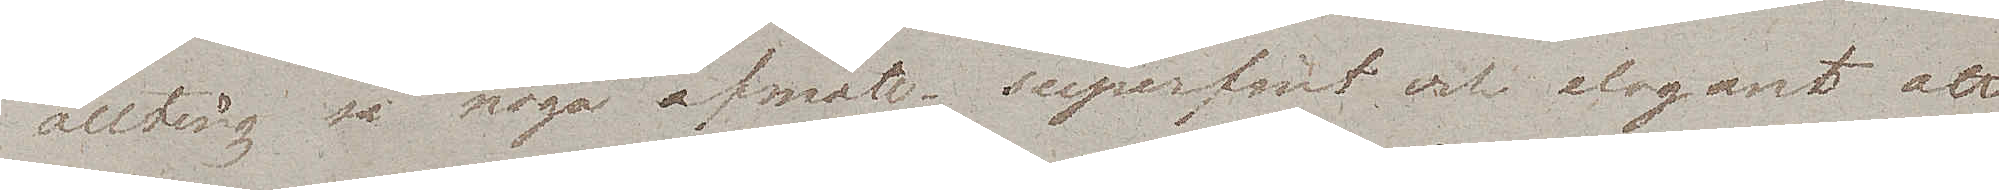allting så noga afmätt – superfint och elegant att
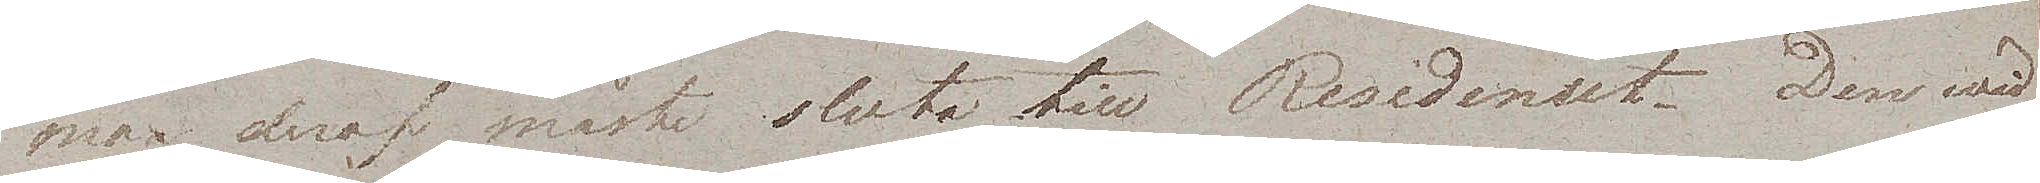man deraf måste sluta till Residenset. Den wid¬
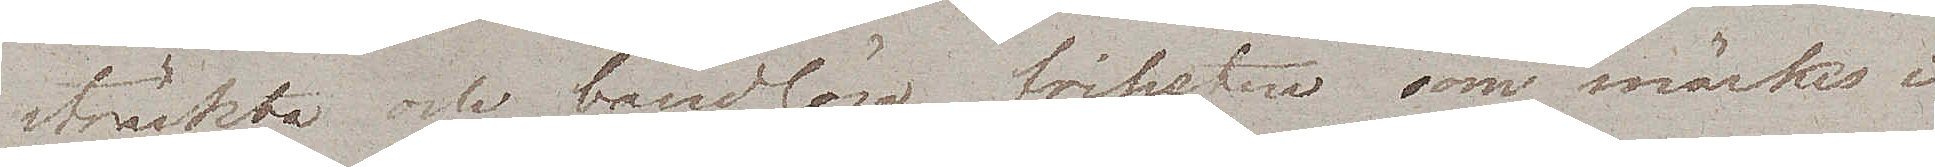sträckta och bandlösa friheten som märkes i
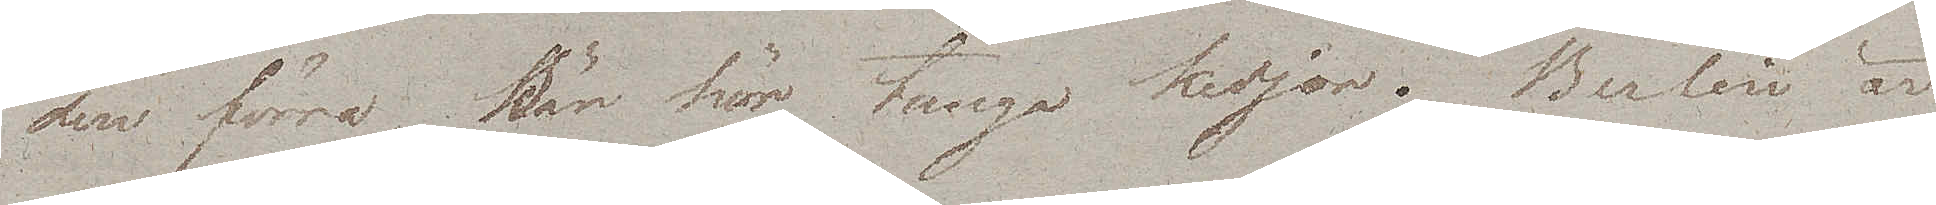den förra, bär här tunga kedjor. Berlin är
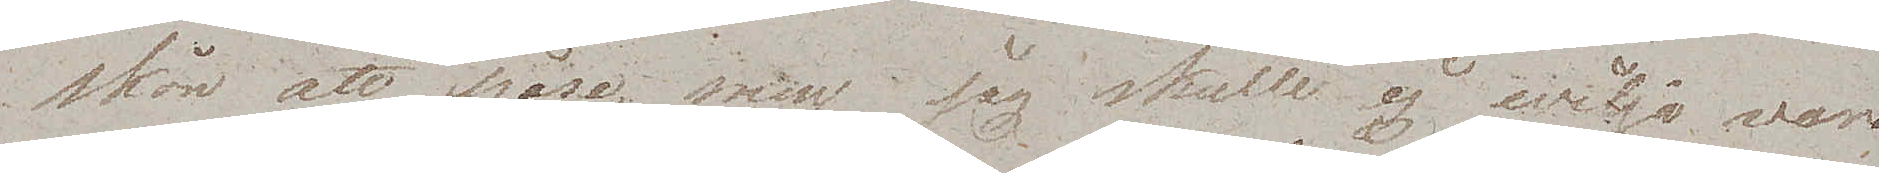skön att påse, men jag skulle ej wilja vara
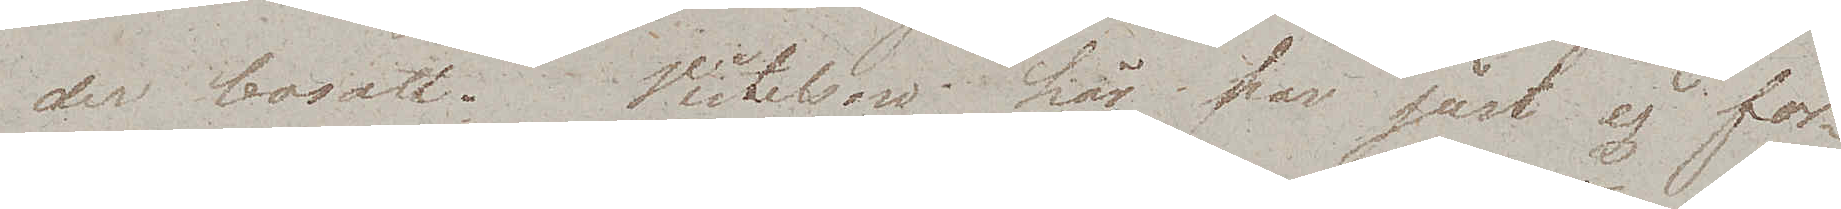der bosatt. Vistelsen här har just ej för¬
